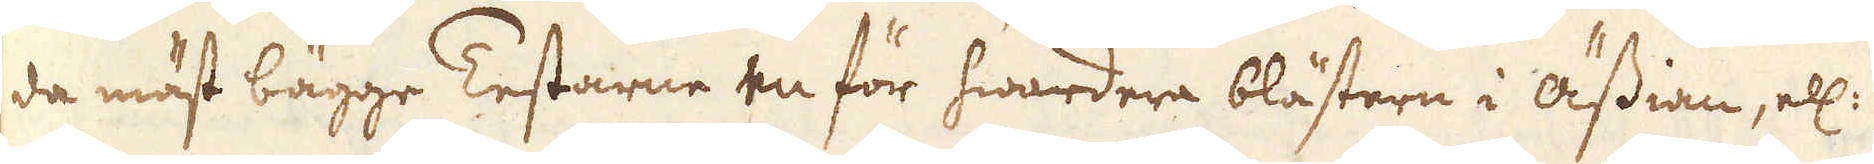da mäst bägge Testarne en för hwardera blästern i ässian, ell:
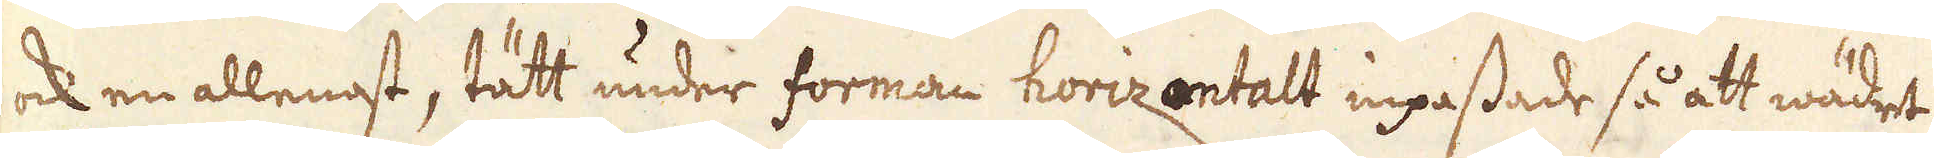ock en allenast, tätt under forman horizontalt inpassade så att wädet
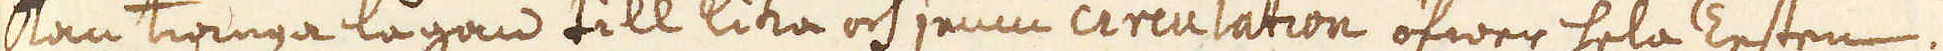kan twinga lågan till lika och jemn circulation öfwer hela Testen;
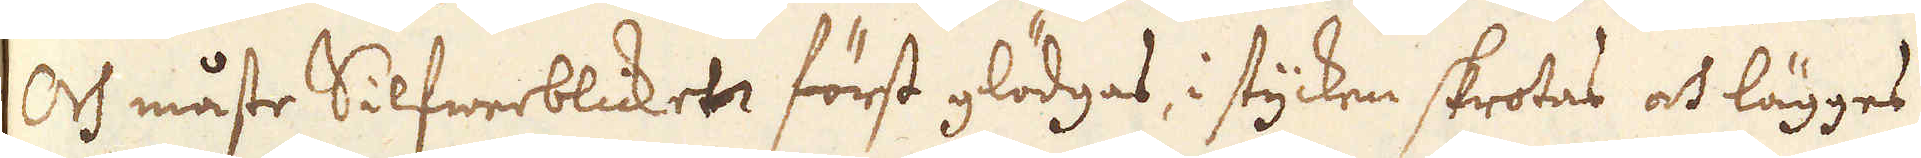Och måste Silfwerblicket först glödgas, i stycken skrotas och lägges
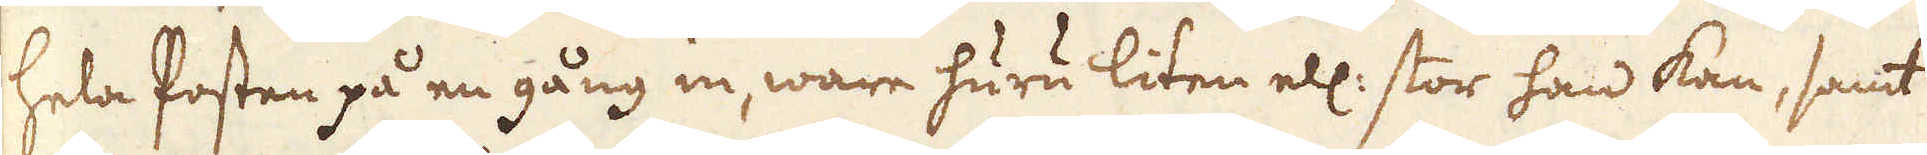hela Posten på en gång in, ware huru liten ell: stor han kan, samt
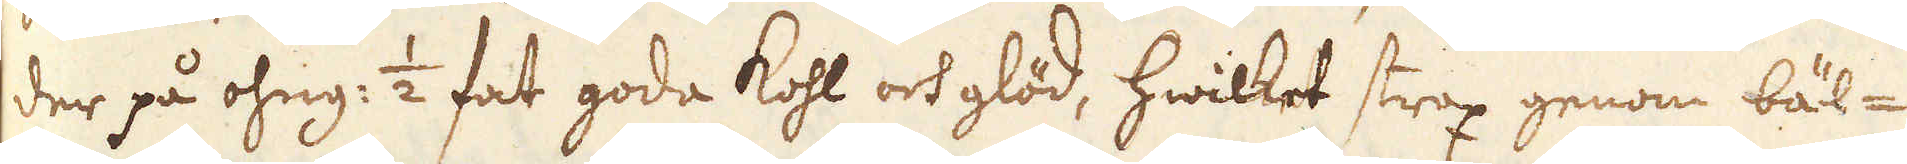der på ohng: 1/2 fat goda kohl och glöd, hwilket strax genom bäl-
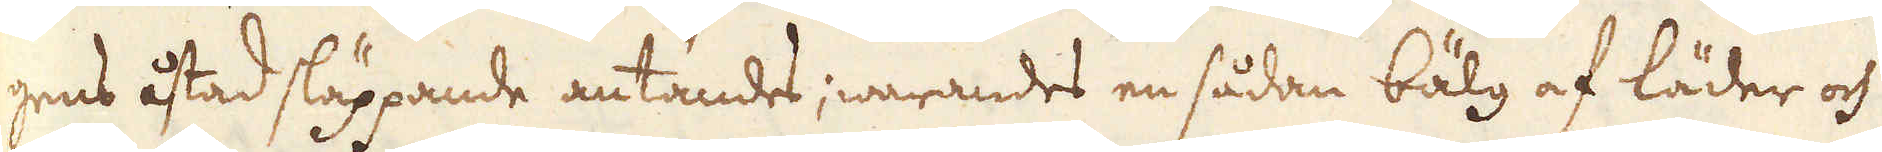gens åstad släppande antändes; warandes en sådan bälg af läder och
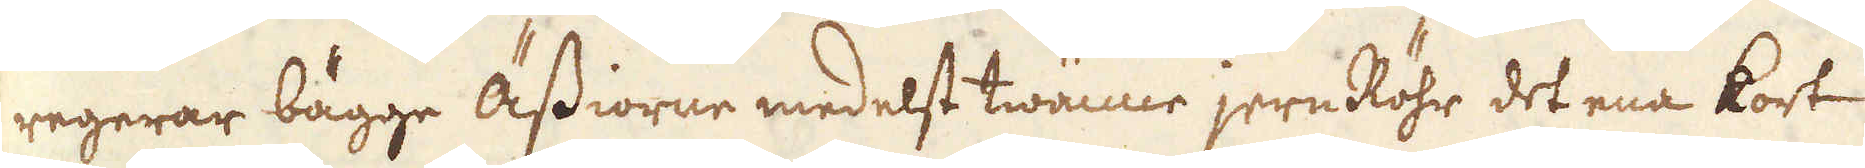regerar bägge Ässiorne medelst twänne jern Röhr det ena kort
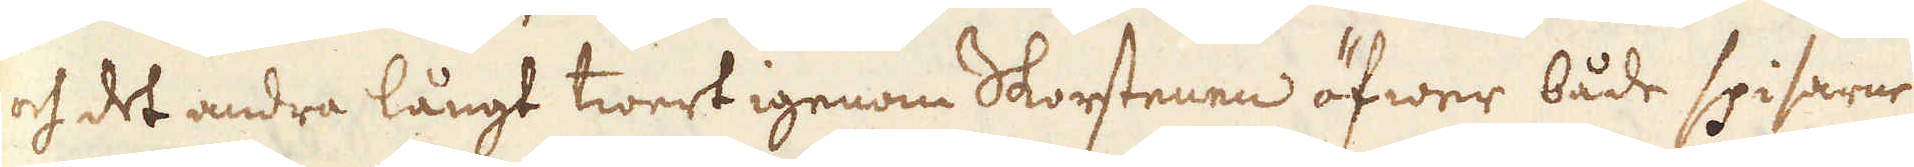och det andra långt twert igenom Skorstenen öfwer både spisarne
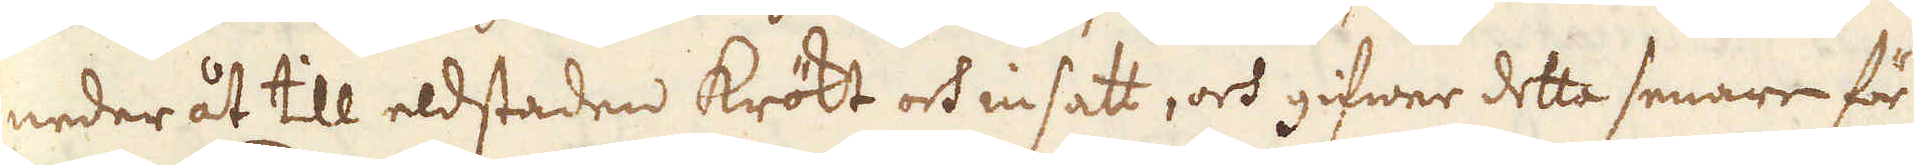neder åt till eldstaden krökt och insatt, och gifwer detta senare för
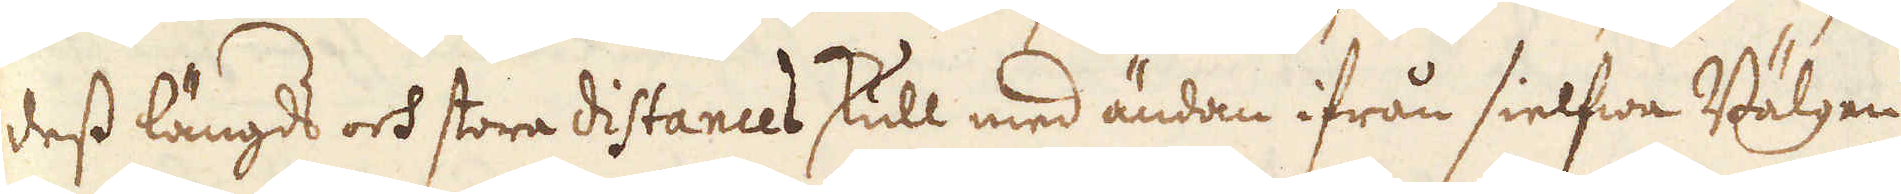dess längds och stora distances skull med ändan ifrån sielfwa Bälgen
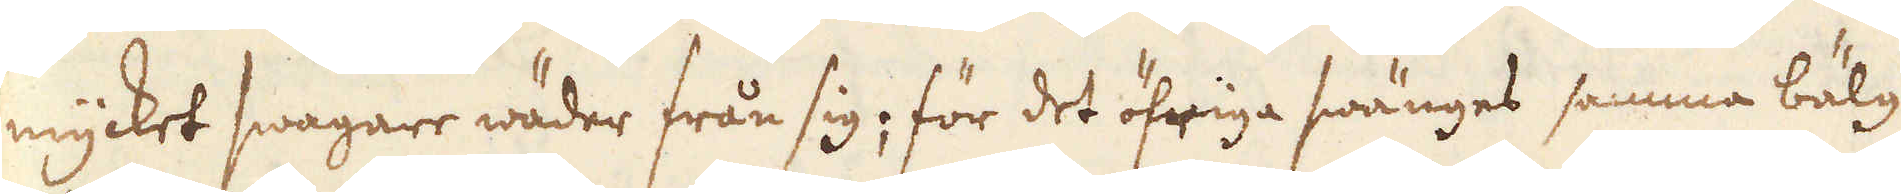mycket swagare wäder från sig; för det öfriga swänges samma bälg
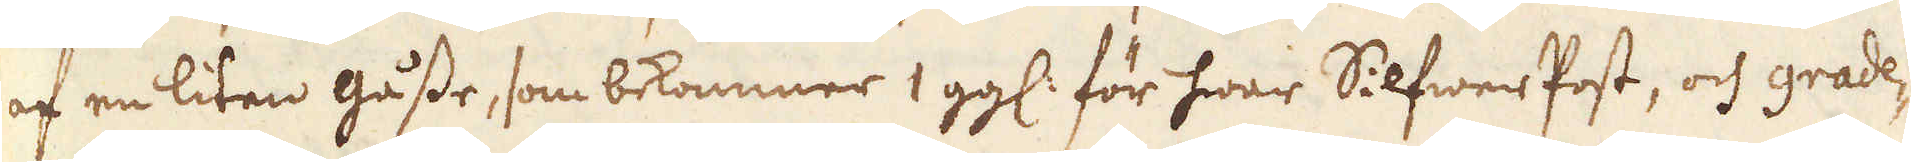af en liten gåsse, som bekommer 1 gg: för hwar Silfwer Post, och grade-
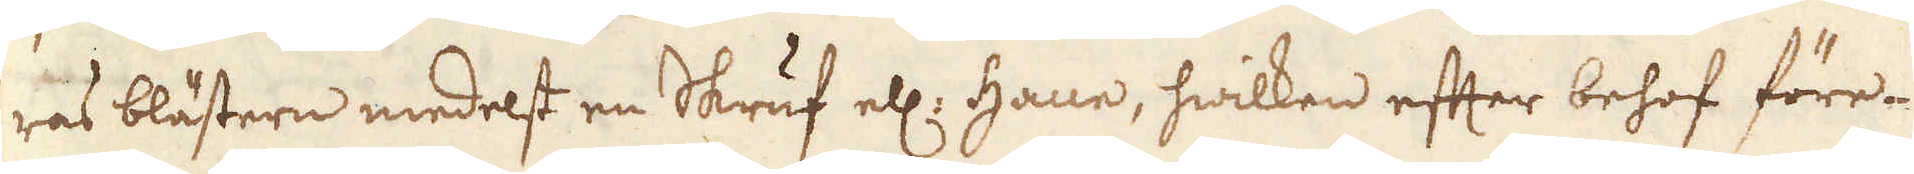ras blästern medelst en Skruf ell: Hane, hwilken efter behof före-
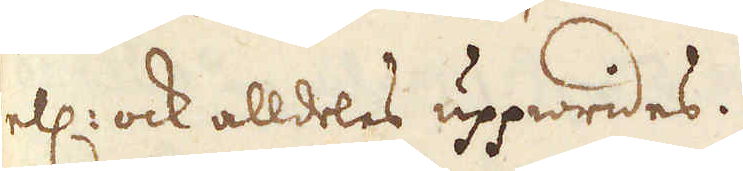ell: ock alldeles uppwrides.
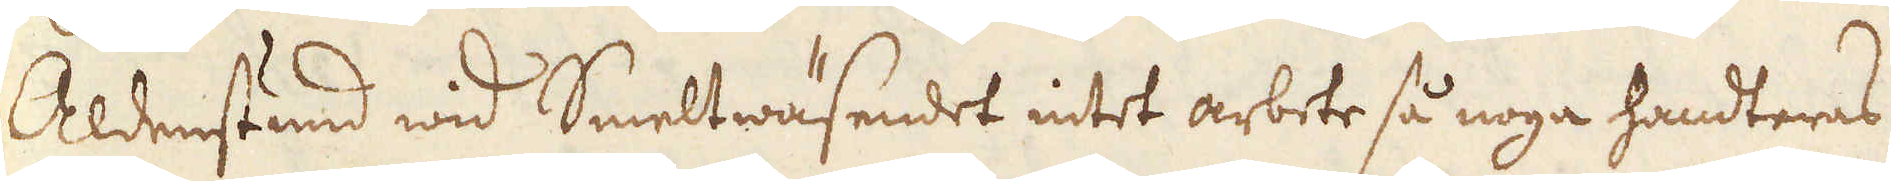Aldenstund wid Smeltwäsendet intet arbete så noga handteras
